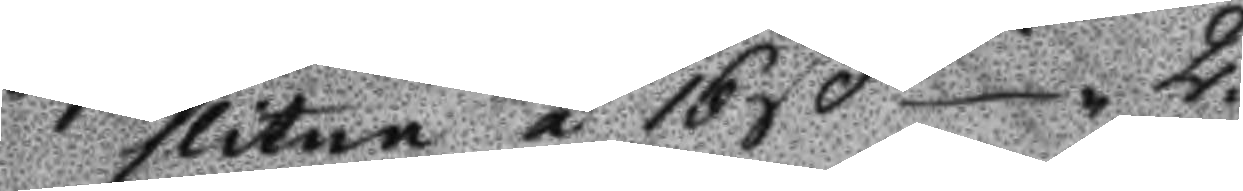slitna á 16ß 2.
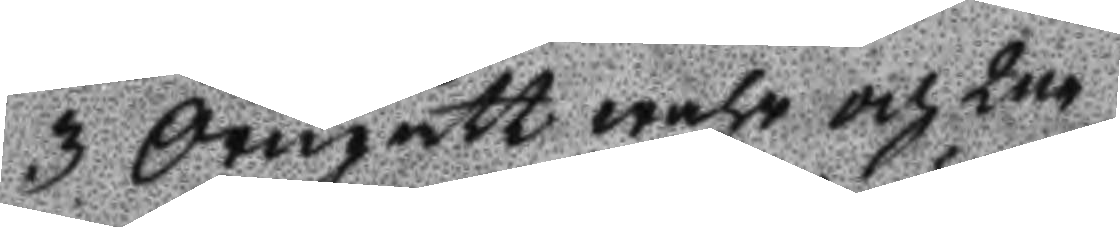3 Örngått wahr och 2ne
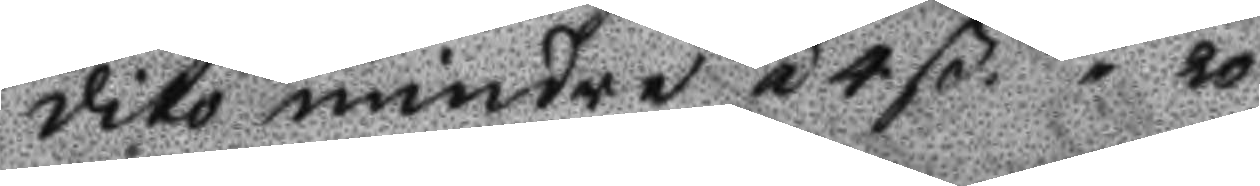dito mindre á 4ß 20.
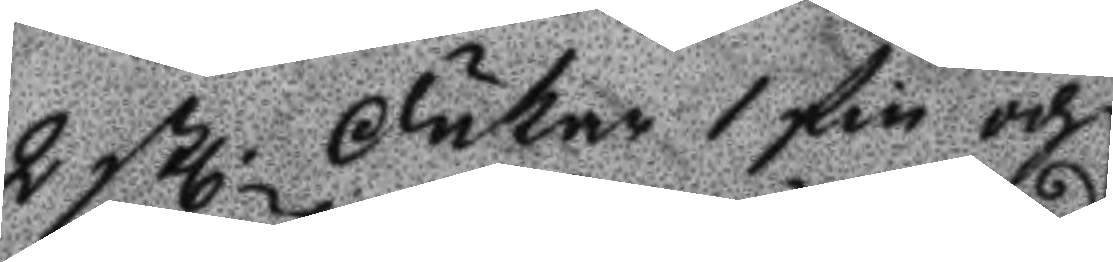2 stl Dukar 1 fin och
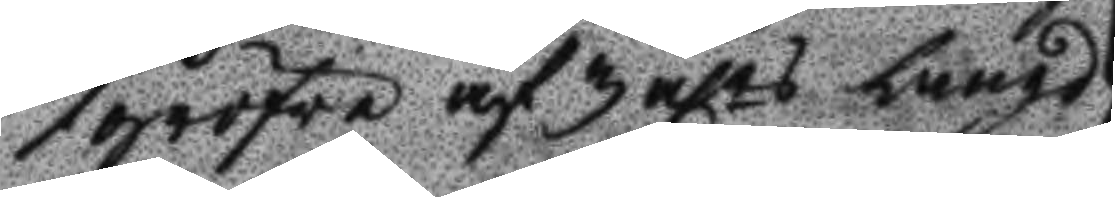1 gröfre af 3 alrs Längd
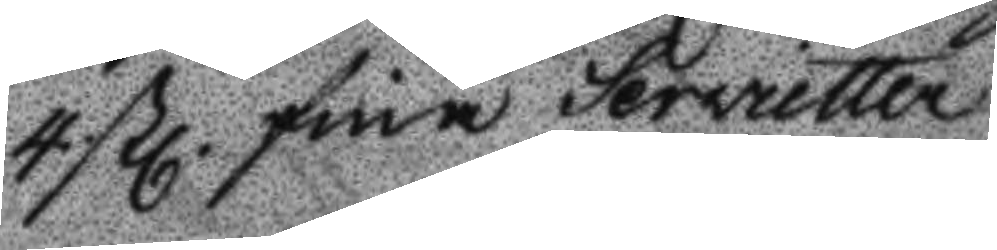4 stl fina Servietter
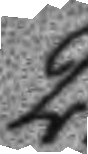2.
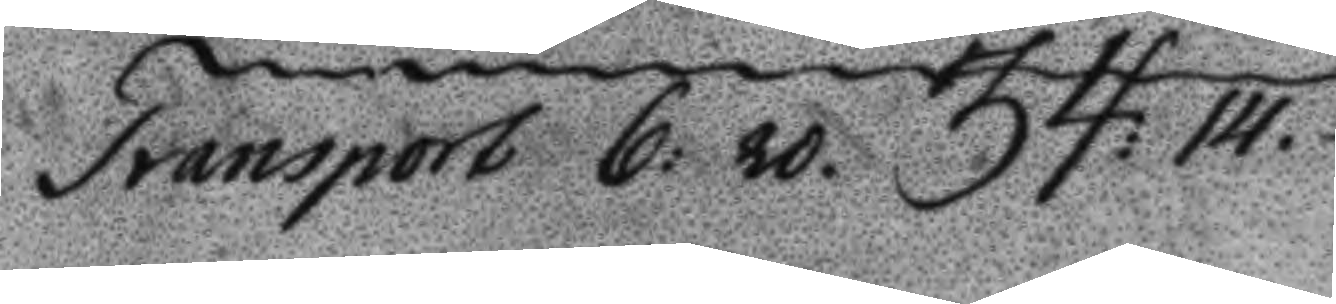Transport 6: 20. 34:14.
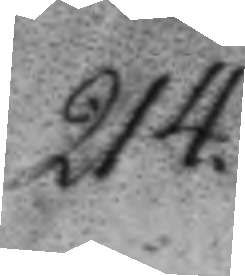214.
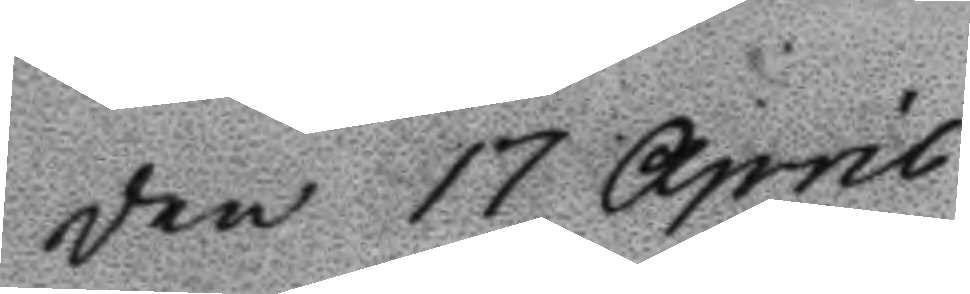Den 17 April
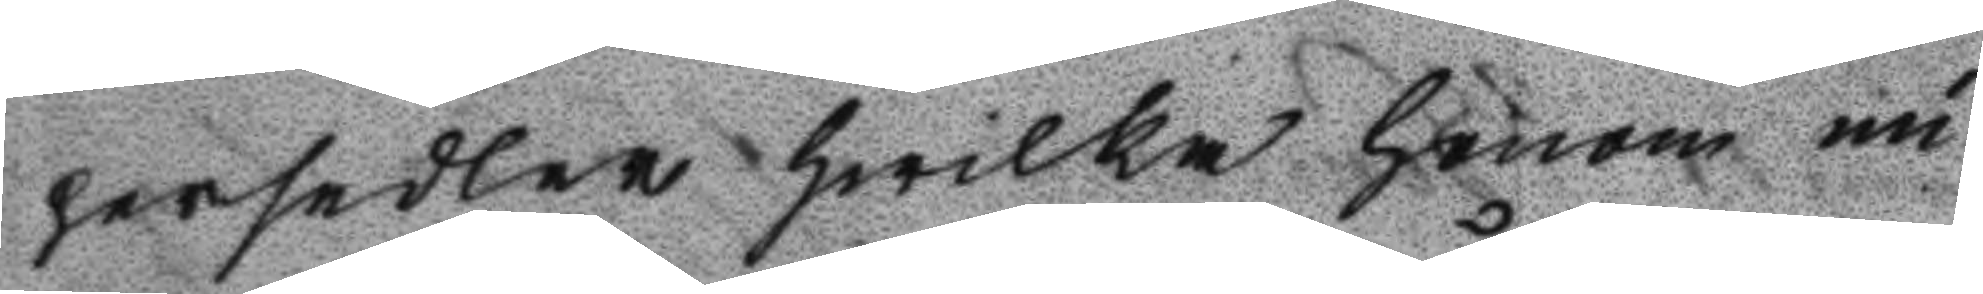persedlar hwilka honom nu
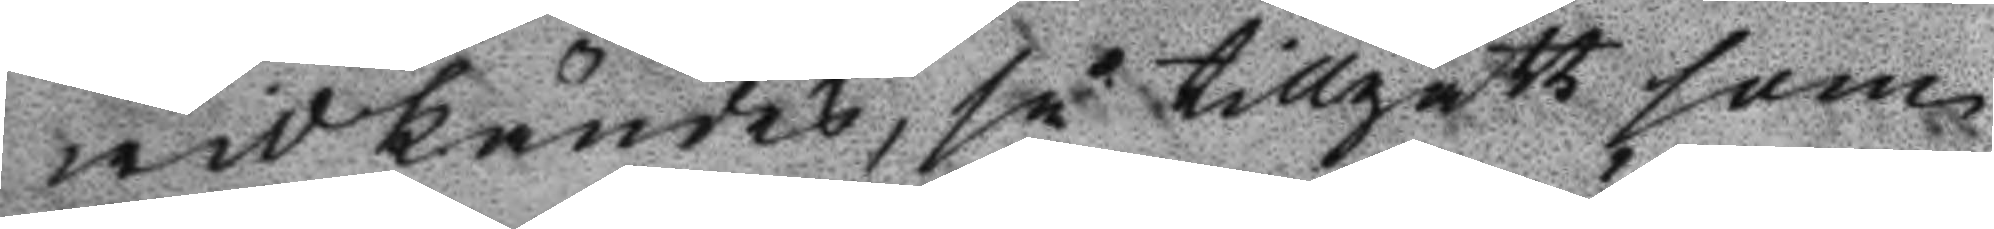widkändes, så tillgått som
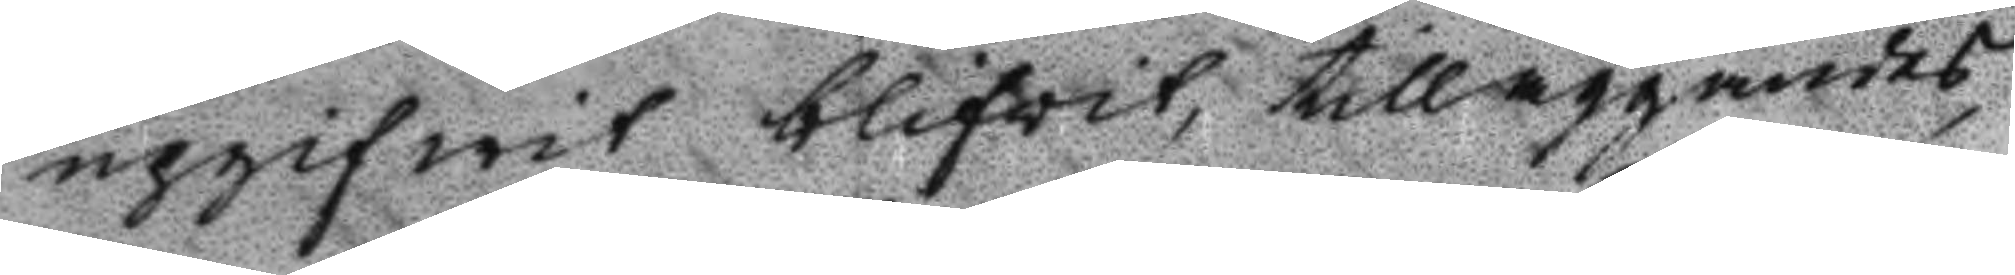upgifwit blifvit, tilläggandes,
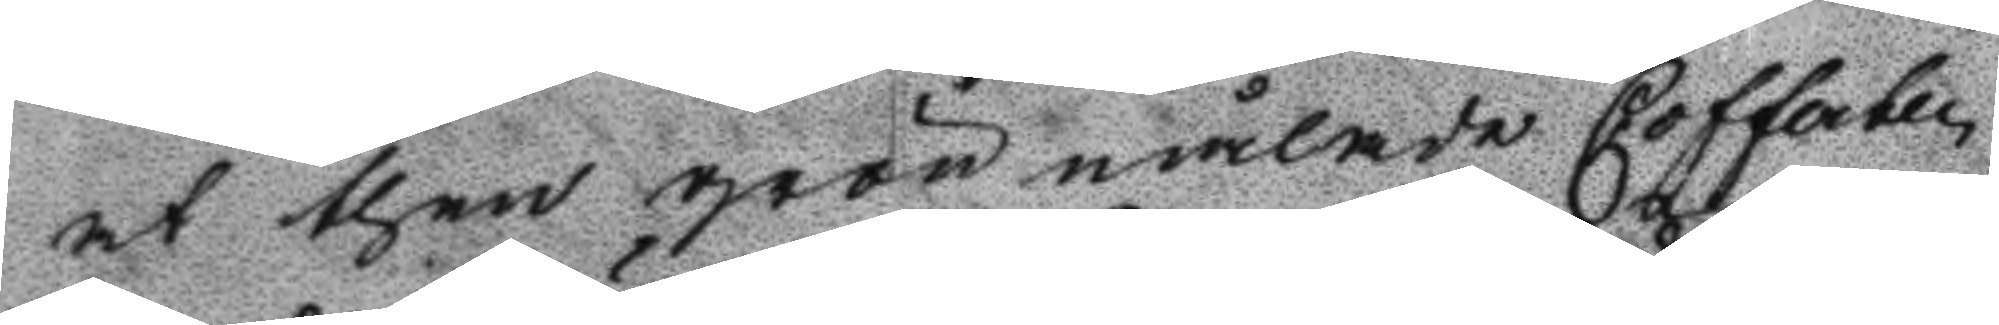at then grönmålade Cofferten
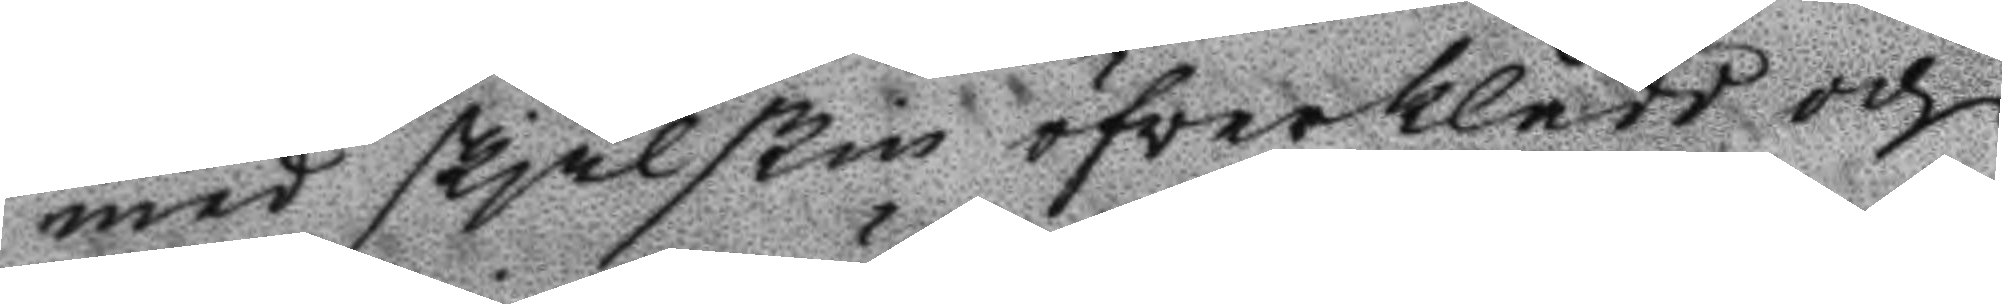med skjälskin öfverklädd och
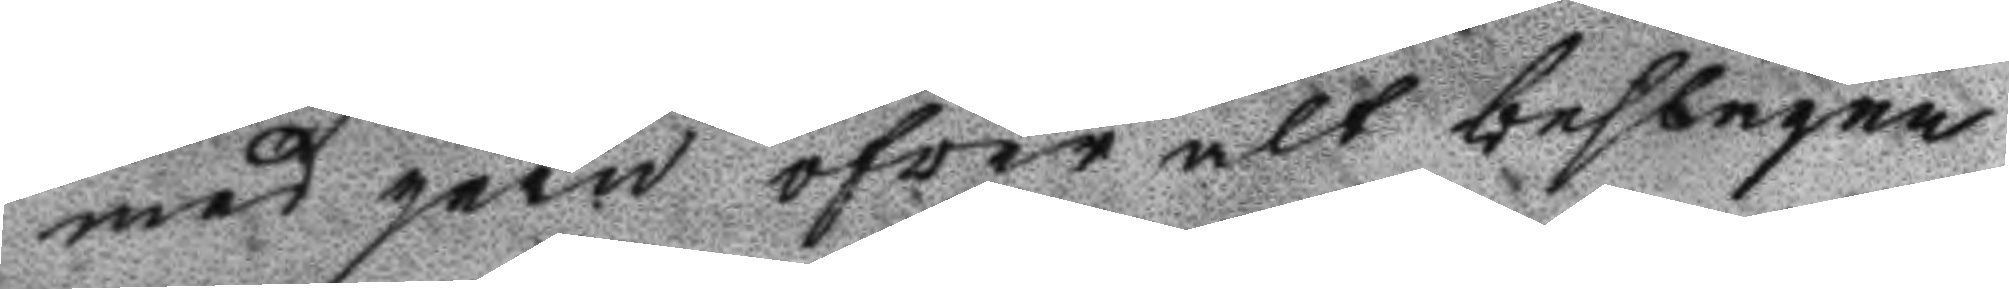med jern öfver alt beslagna
